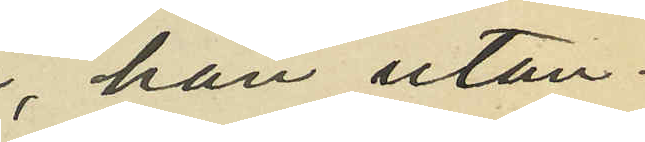han utan¬
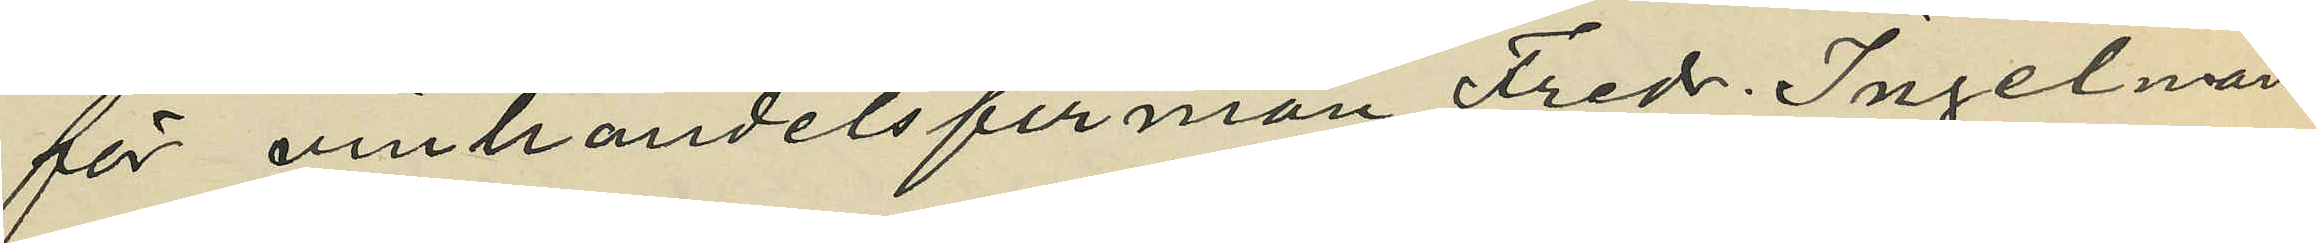för vinhandelsfirman Fredr. Ingelman
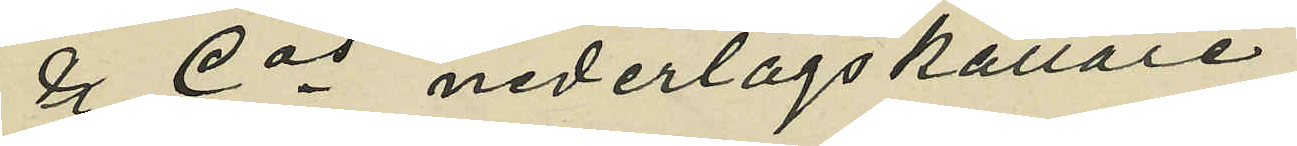& Cos nederlagskällare
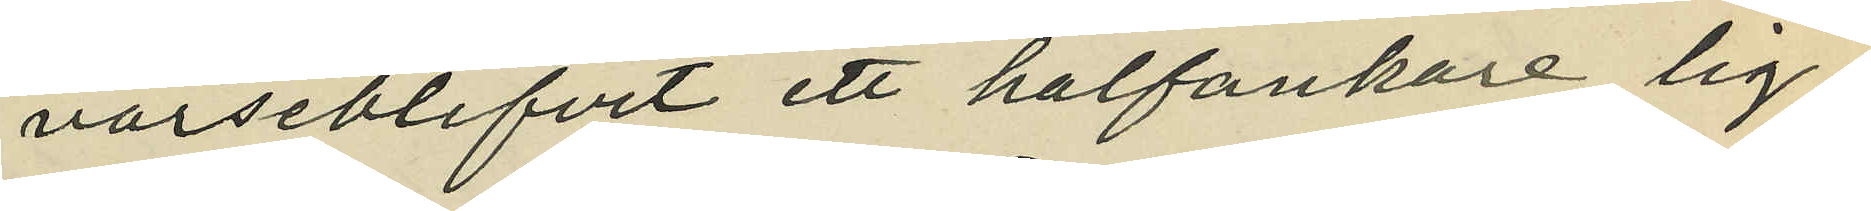varseblifvit ett halfankare lig¬
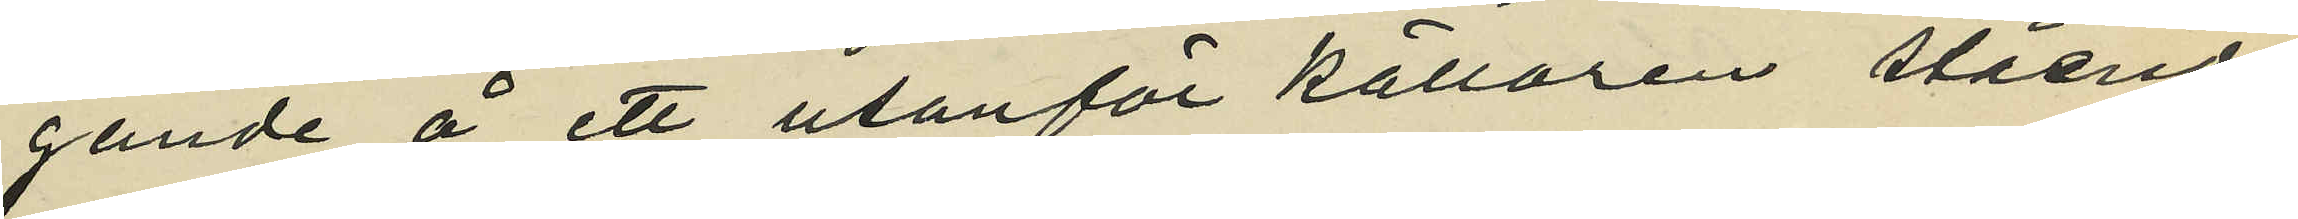gande å ett utanför källaren stående
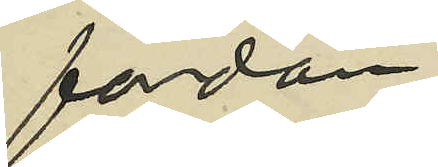fordon;
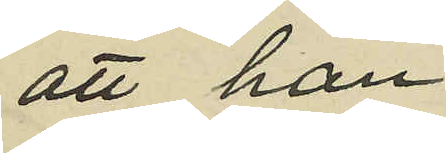att han
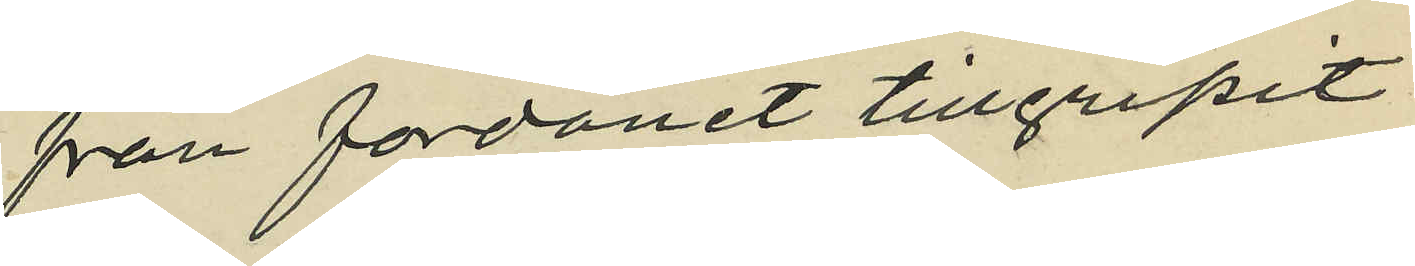från fordonet tillgripit
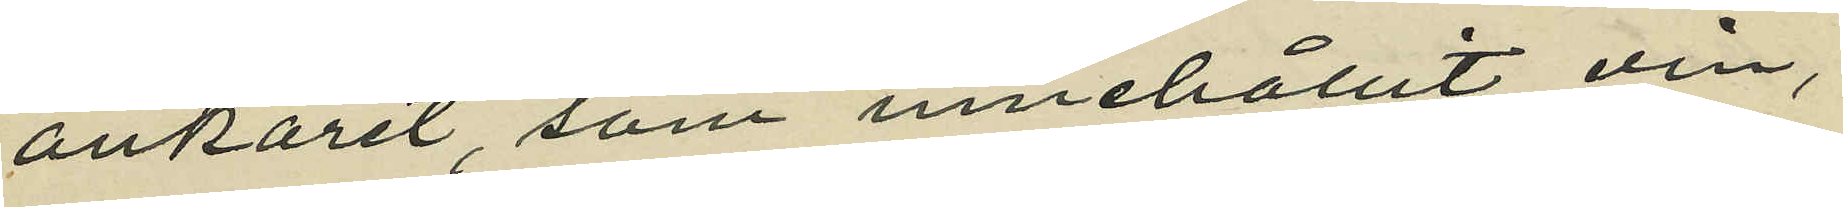ankaret, som innehållit vin,
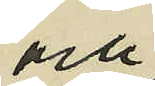och
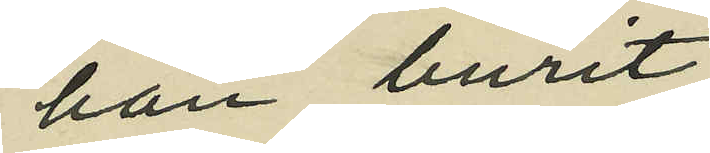han burit
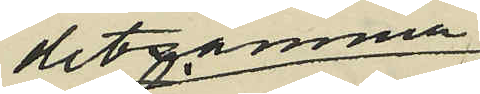detsamma
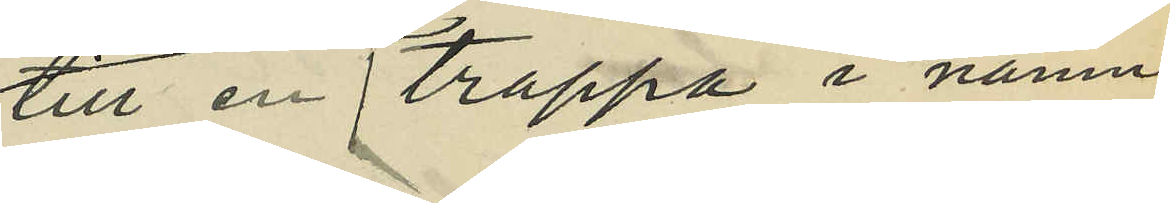till en trappa i nämn¬
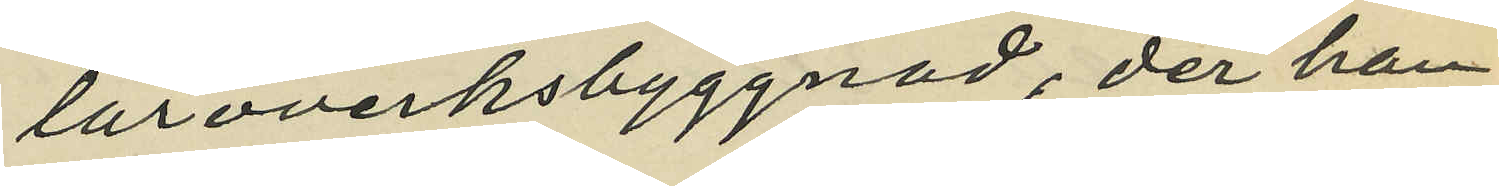läroverksbyggnad; der han
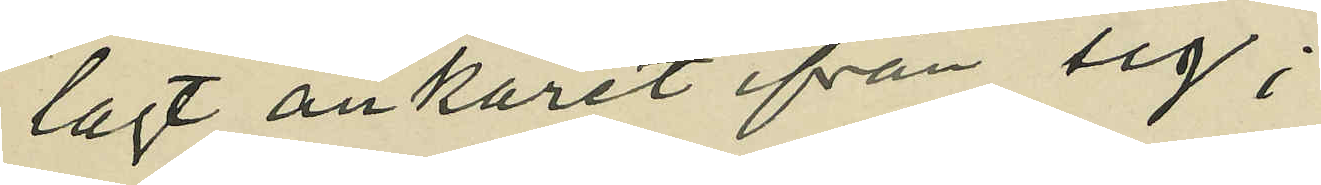lagt ankaret ifrån sig;
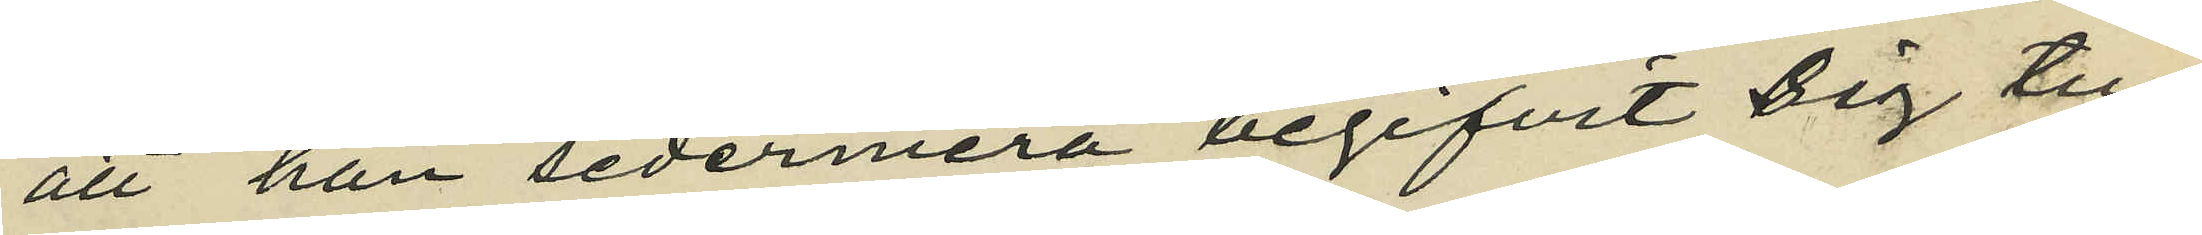att han sedermera begifvit sig till
